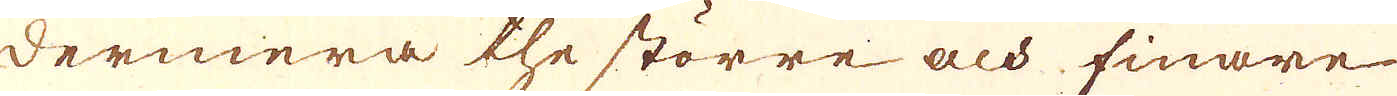dermera the större och finare
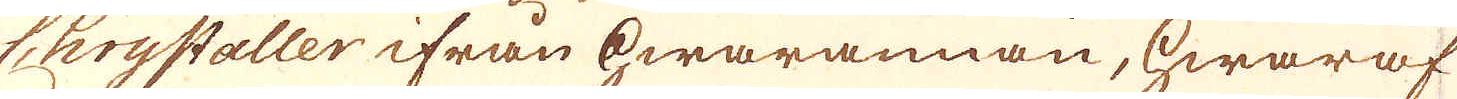Chrystaller ifrån hwarannan, hwaraf
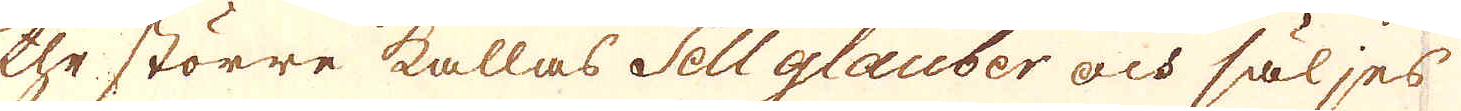the större kallas Sell glauber och säljes
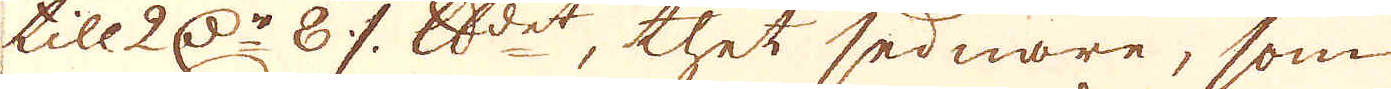till 2 d:r 8 öre skålpundet, thet sednare, som
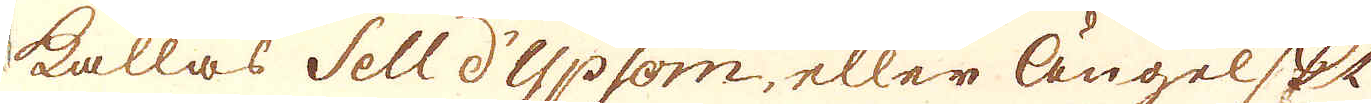kallas Sell d'Ypsom, eller ängelskt
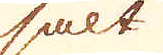salt
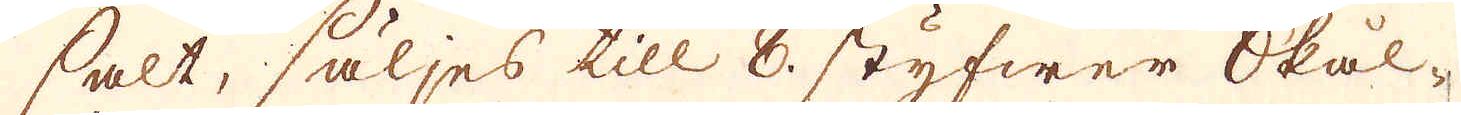salt, säljes till 8. styfwer skål-
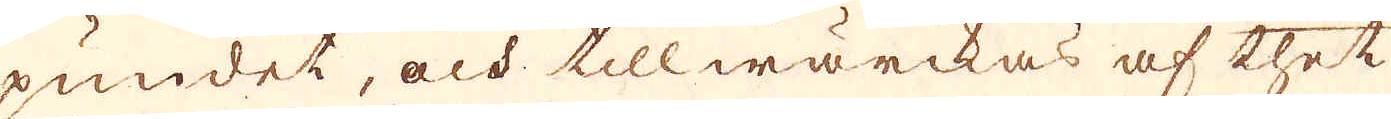pundet, och tillwärckas af thet
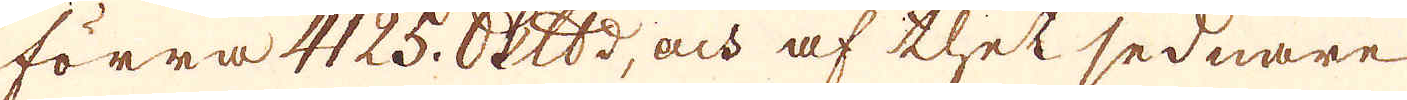förra 4125. skeppund, och af thet sednare
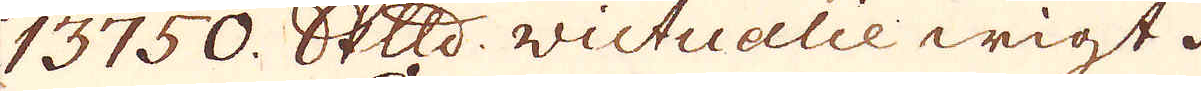13750. skeppund victualie wigt.
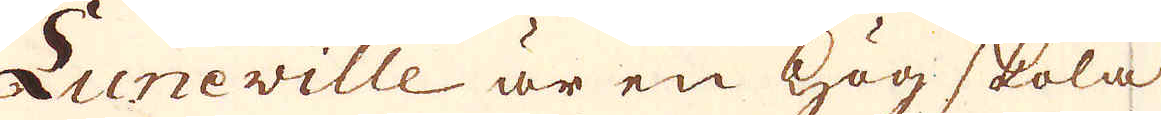Luneville är en hög skola
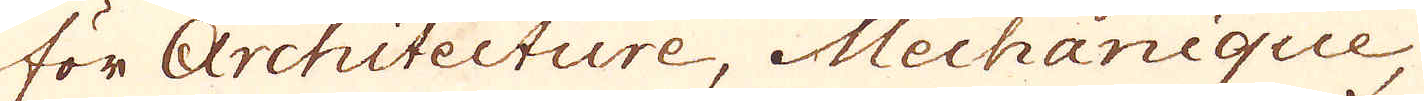för Architecture, Mechanique,
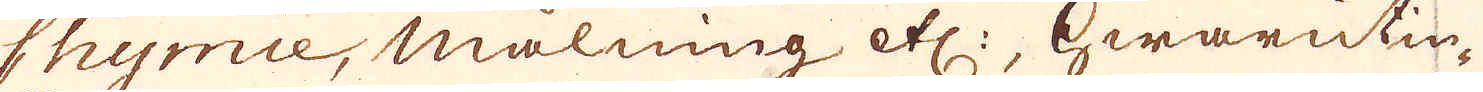Chymie, målning etc:, hwarutin-
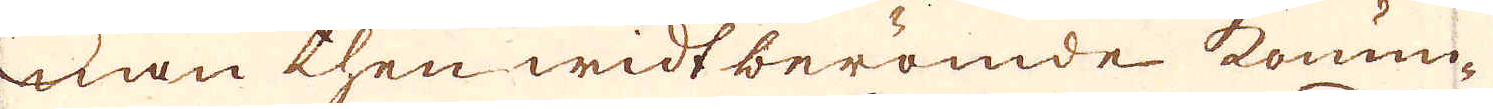nan then widtberömde konun-
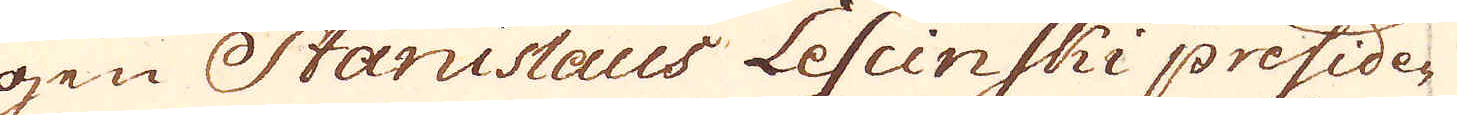gen Stanislaus Lescinski preside-
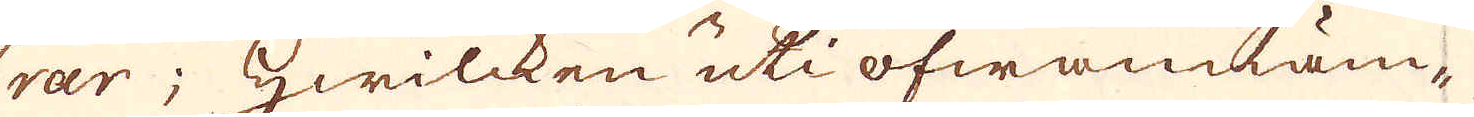rar; hwilcken uti ofwannäm-
